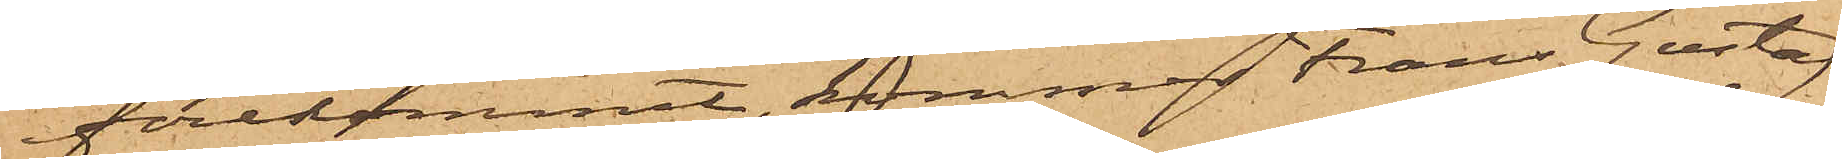förekommit, kommer Frans Gustaf
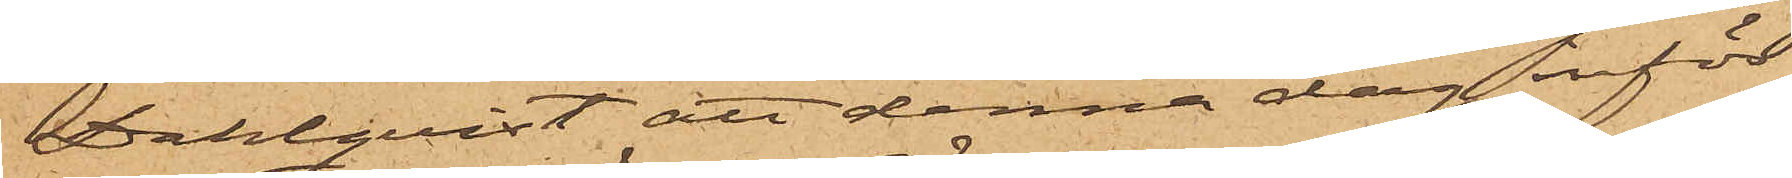Dahlqvist att denna dag inför
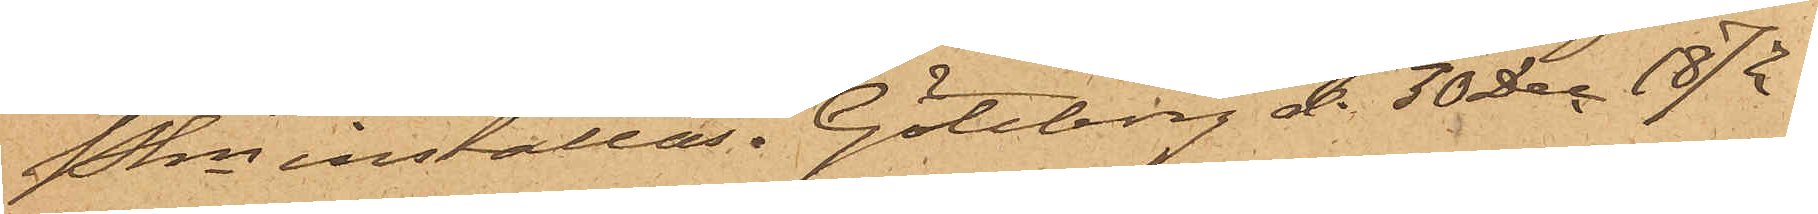Pkn inställas. Göteborg d. 30 Dec. 1872.
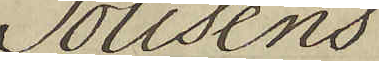Polisens
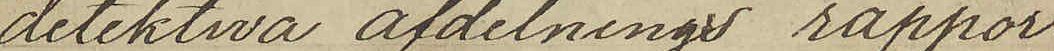detektiva afdelnings rappor¬
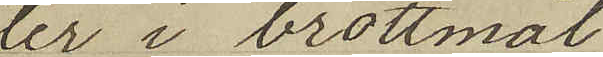ter i brottmål
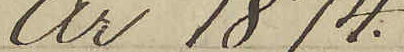År 1874.
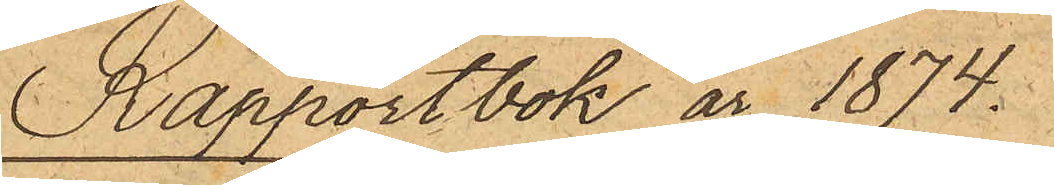Rapportbok år 1874.
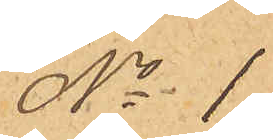No 1.
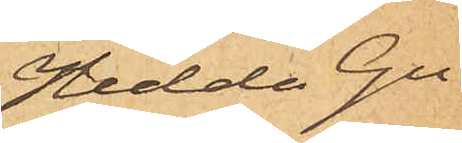Hedda Gu¬
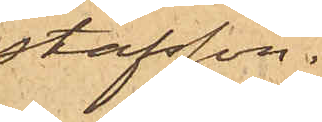stafsson.
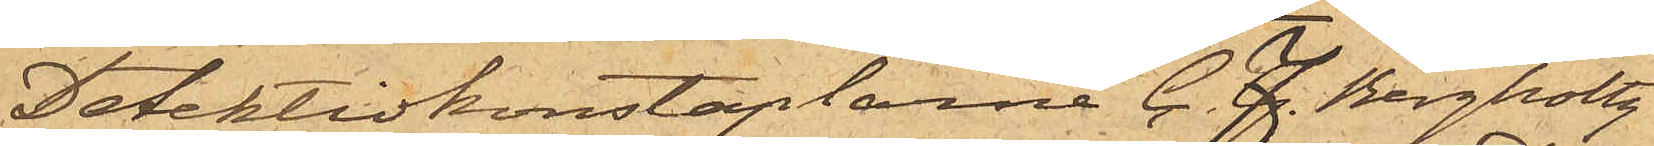Detektivkonstaplarne C. F. Bergholtz
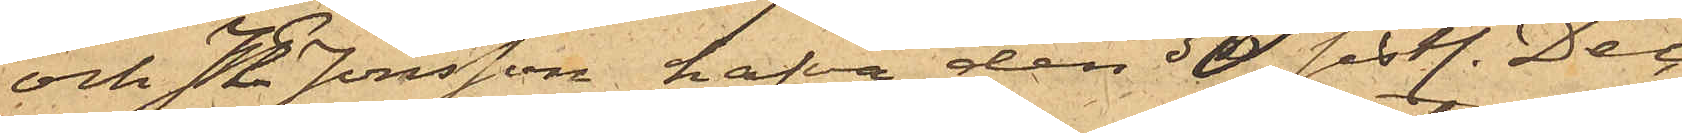och J E Jönsson hafva den 30 sistl. Dec.
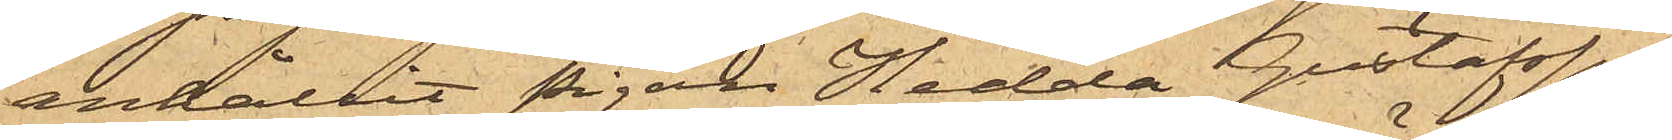anhållit pigan Hedda Gustafsson
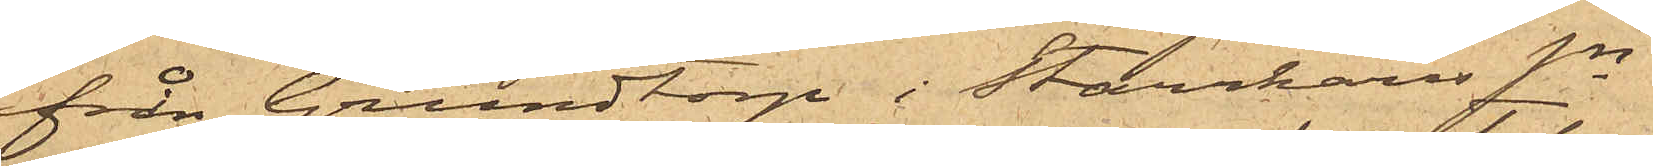från Grundtorp i Starrkärrs sn
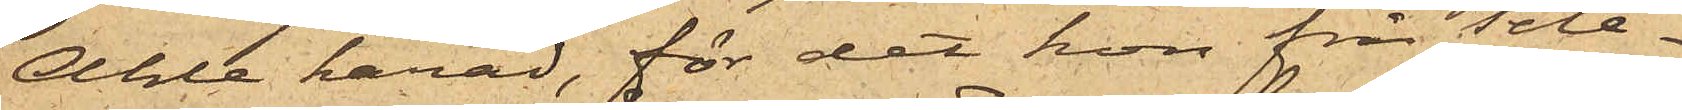Ahle härad, för det hon från Tele¬
